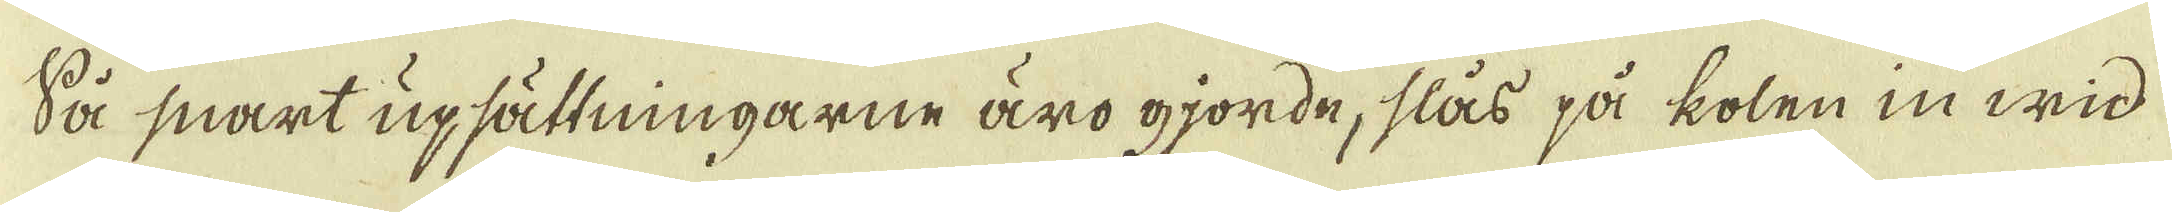Så snart upsättningarne äro gjorde, slås på kolen in wid
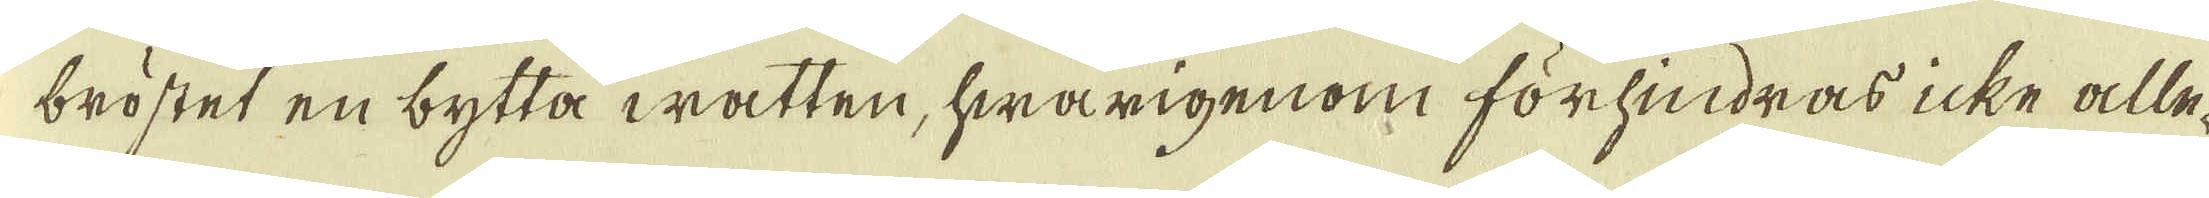bröstet en bytta watten, hwarigenom förhindras icke alle-
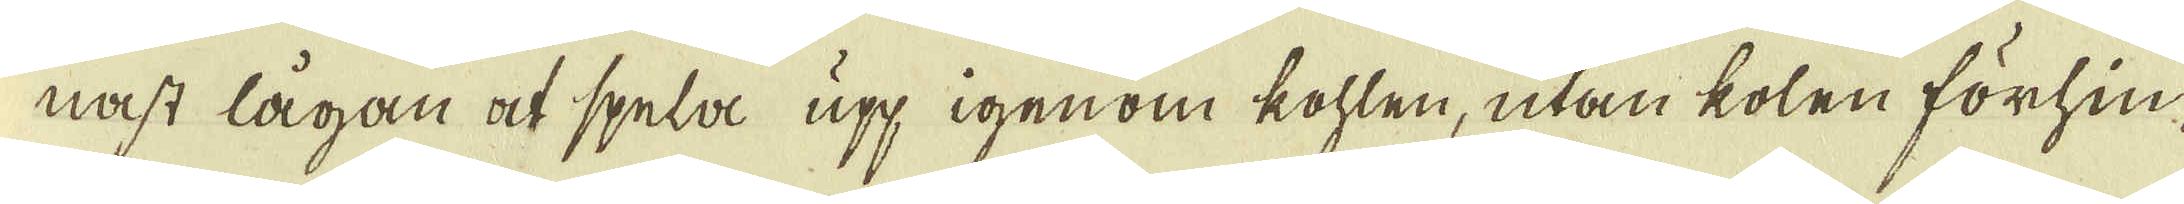nast lågan at spela upp igenom kohlen, utan kolen förhin-
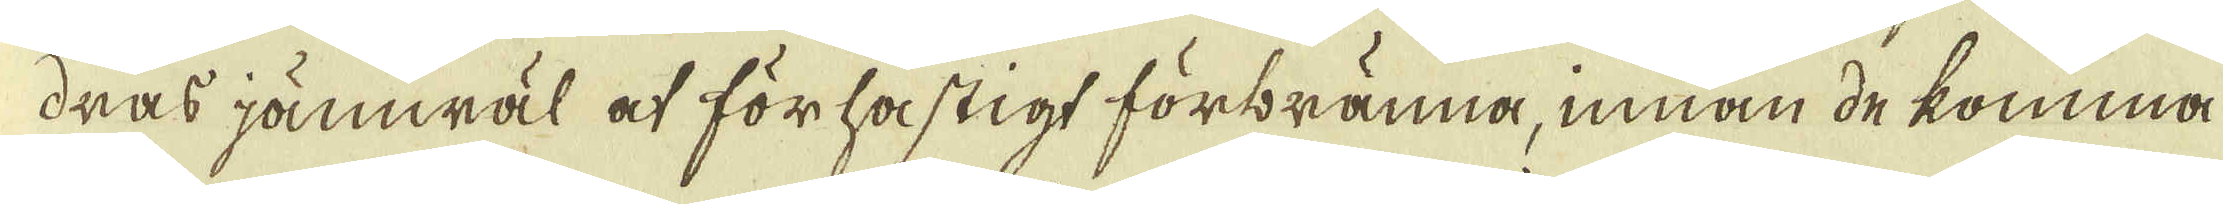dras jämwäl at förhastigt förbränna, innan de komma
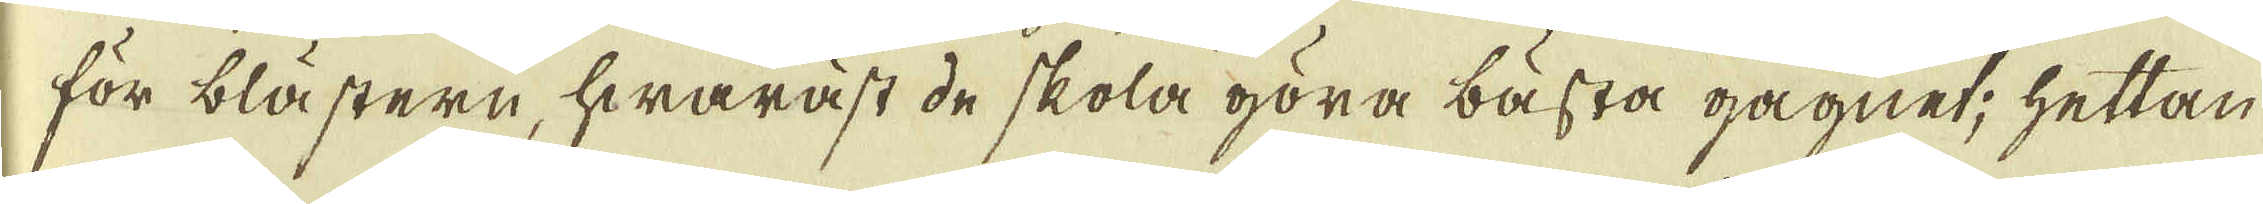för blästern, hwaräst de skola göra bästa gagnet; hettan
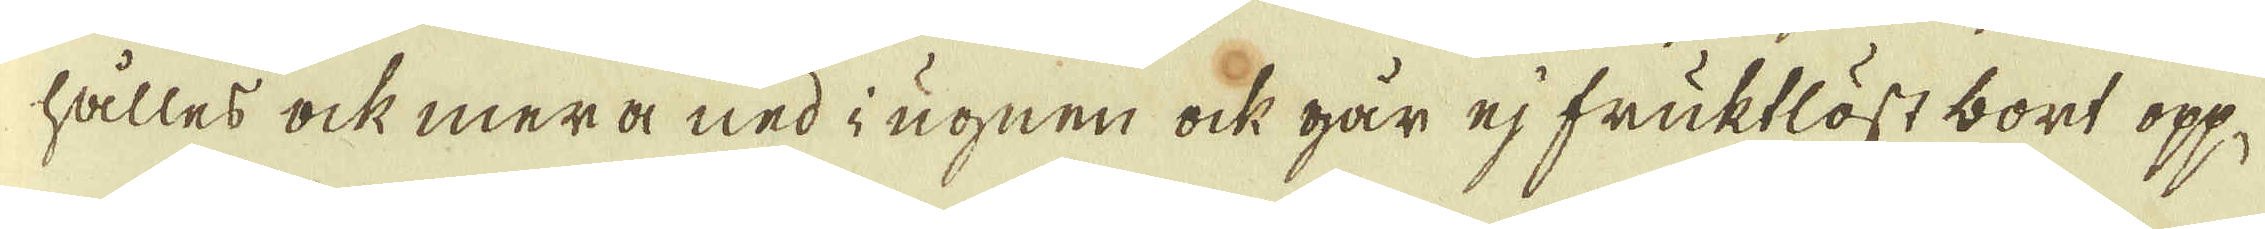hålles ock mera ned i ugnen ock går ej fruktlöst bort opp,
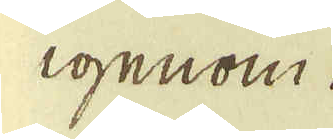igenom
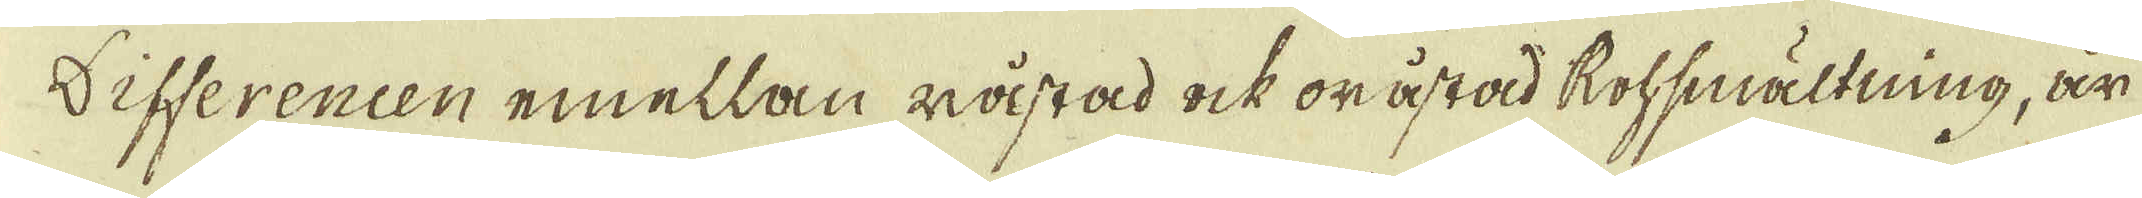differencen emellan råstad ock oråstad Rohsmältning, är
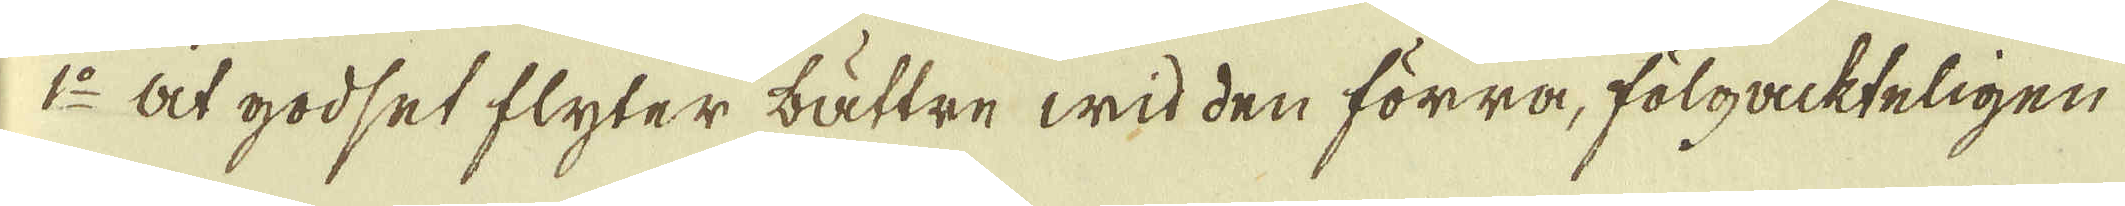1:o At godset flyter bättre wid den förra, fölgackteligen
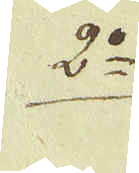2:o
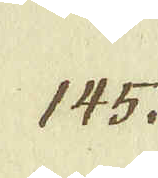145.
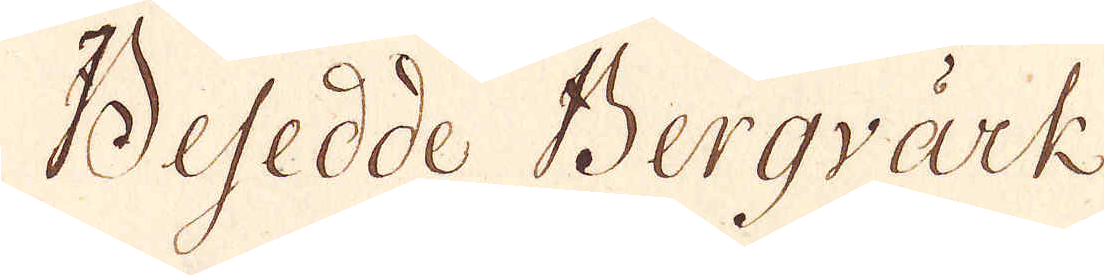Besedde Bergvärk
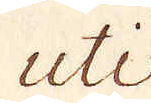uti
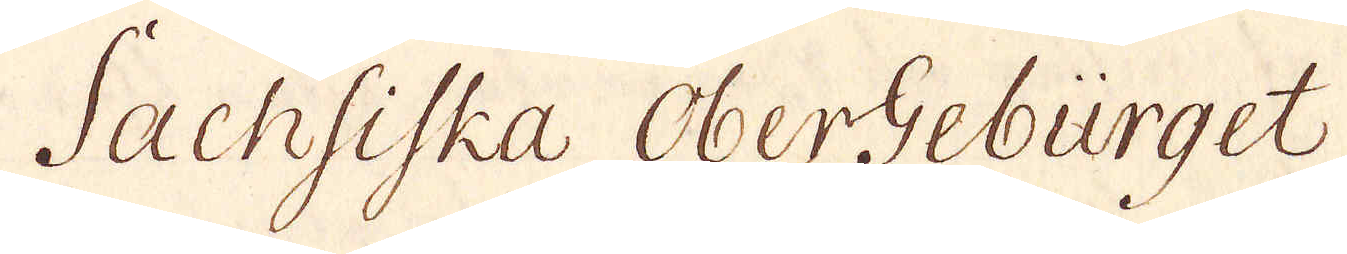Sachsiska OberGebürget,
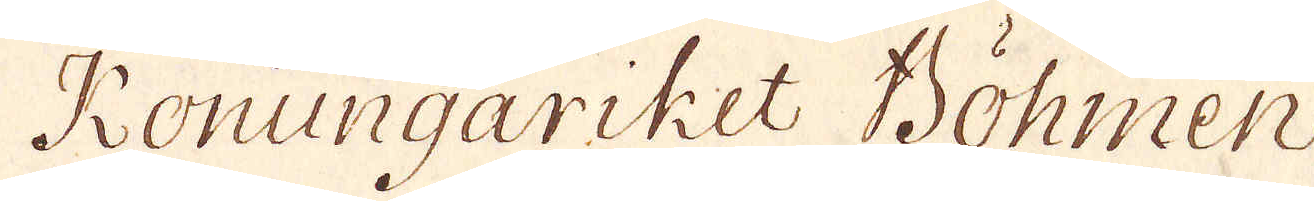Konungariket Böhmen
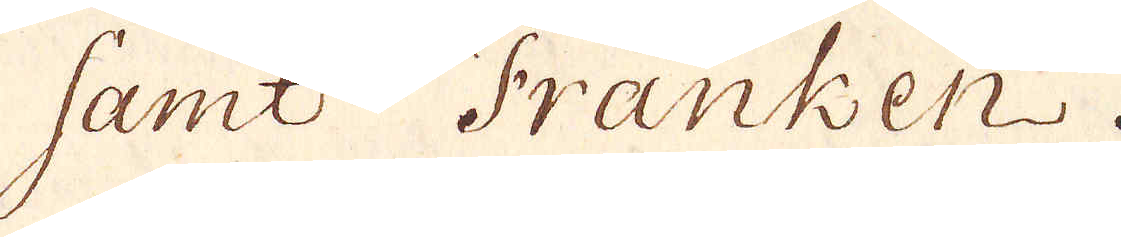samt Franken.
